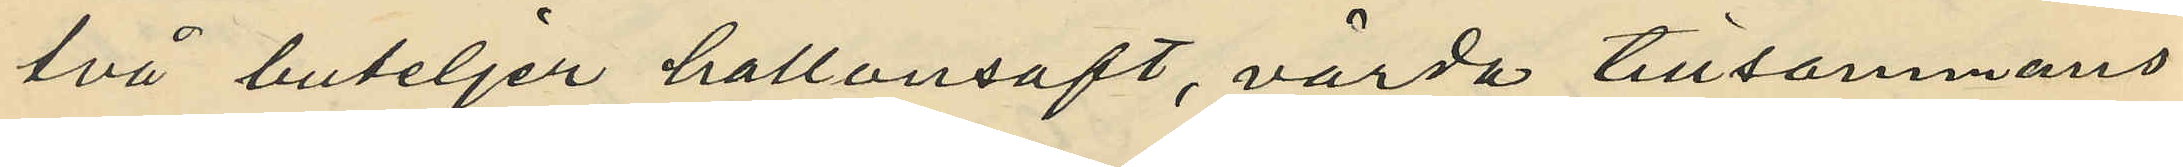två buteljer hallonsaft, värda tillsammans
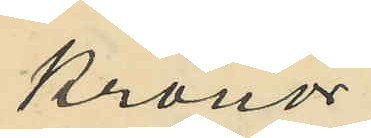Kronor
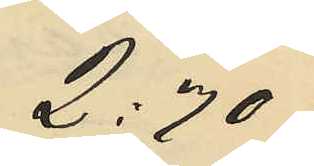2:70
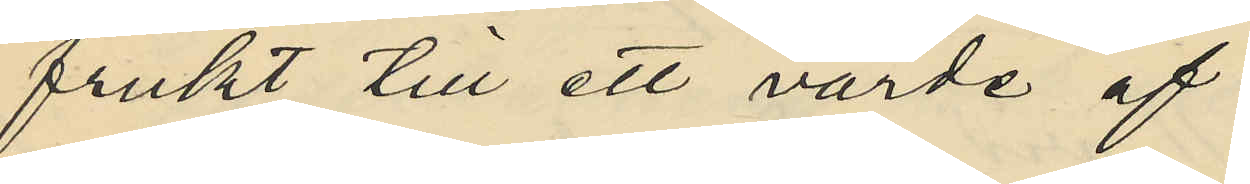frukt till ett värde af
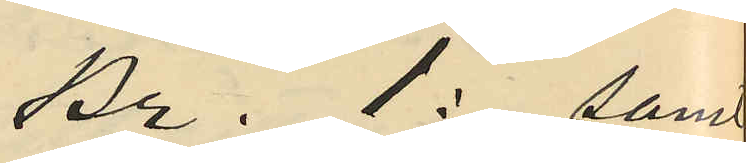kr. 1: samt
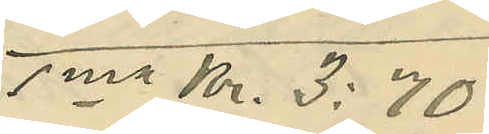sma Kr. 3:70
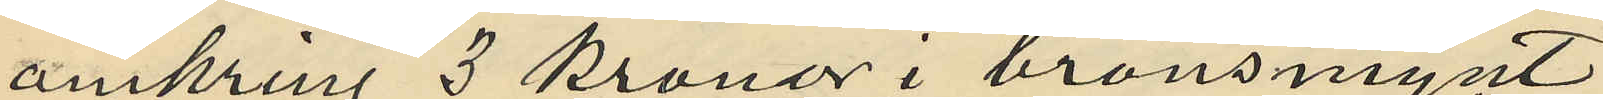omkring 3 kronor i bronsmynt
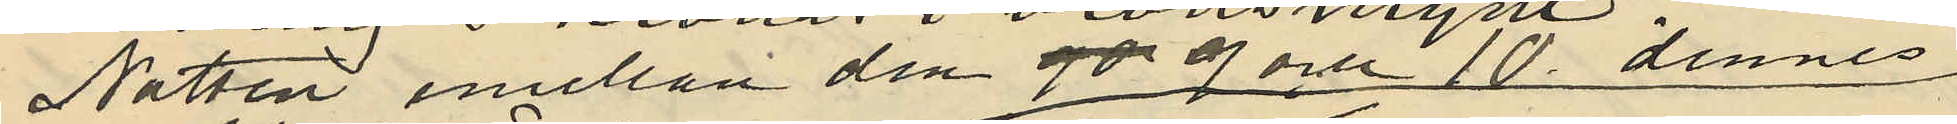Natten emellan den 9 och 10 dennes
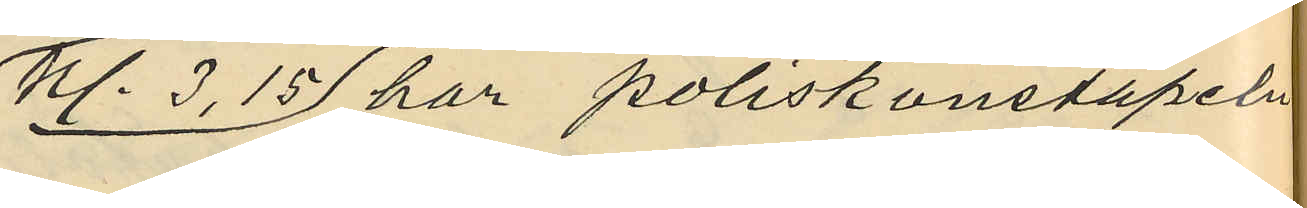Kl. 3,15 har poliskonstapeln
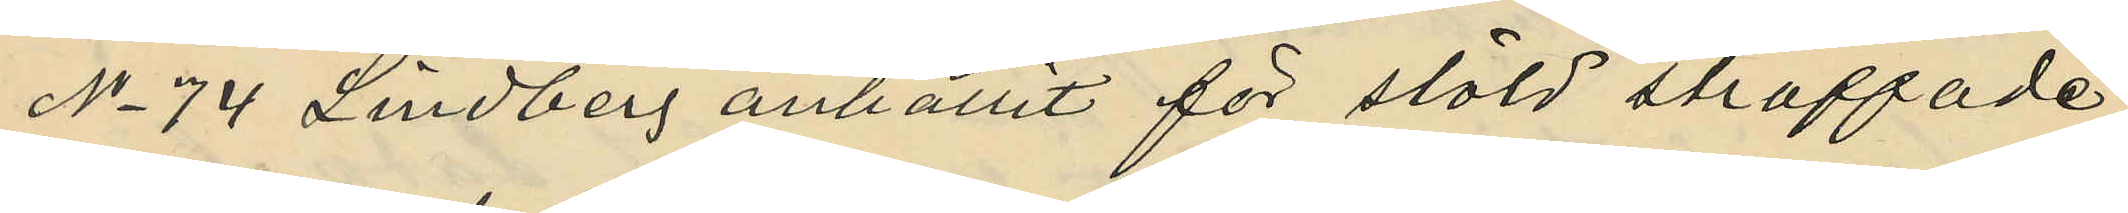No 74 Lindberg anhållit för stöld straffade
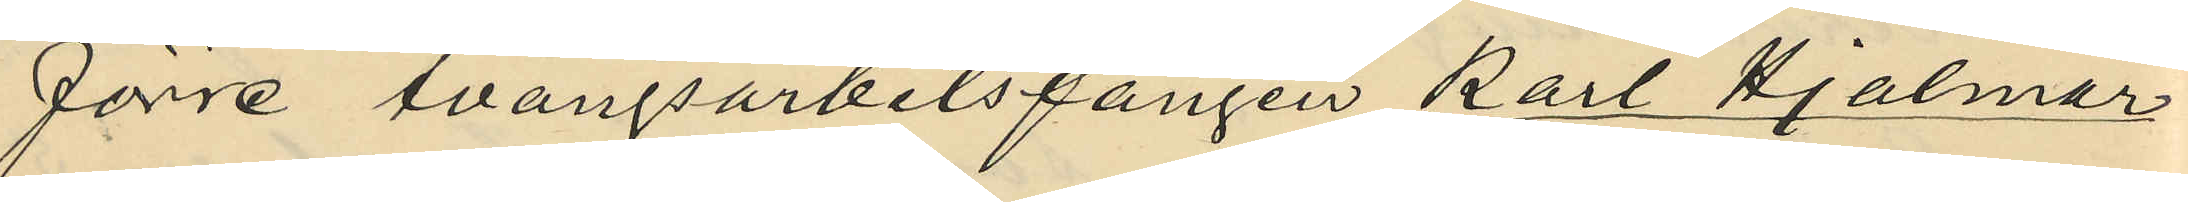förre tvångsarbetsfången Karl Hjalmar
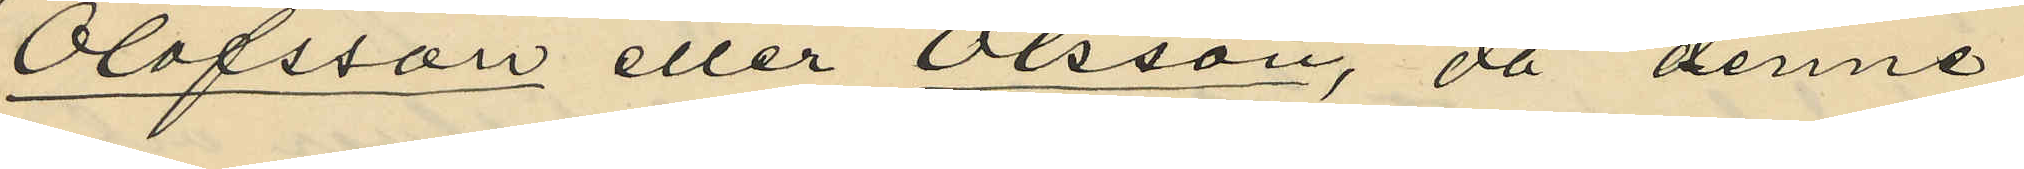Olofsson eller Olsson, då denne
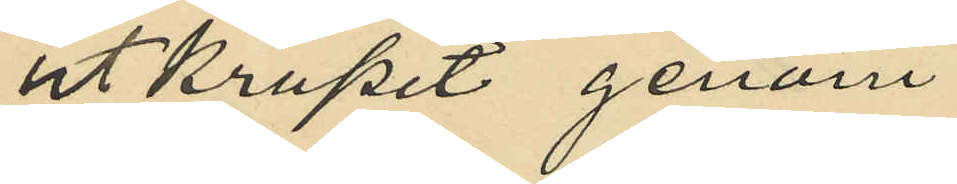utkrupit genom
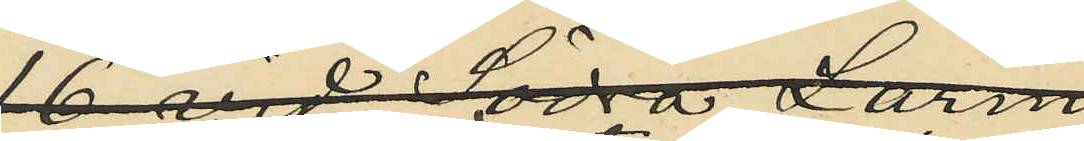ett öppet fönster anbragt
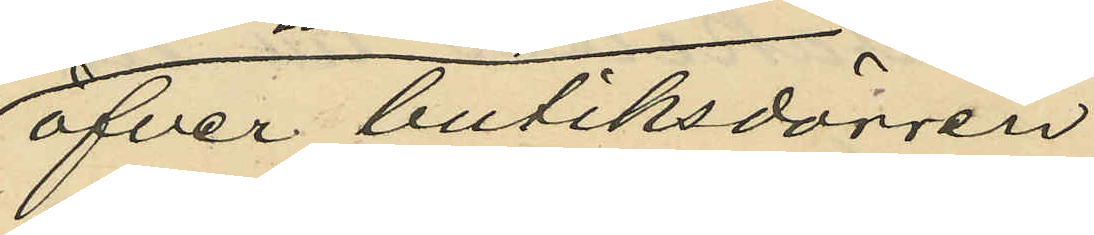öfver butiksdörren
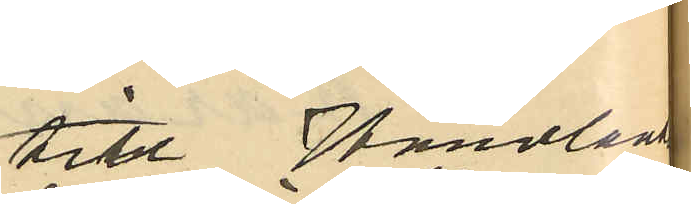till Handlanden
